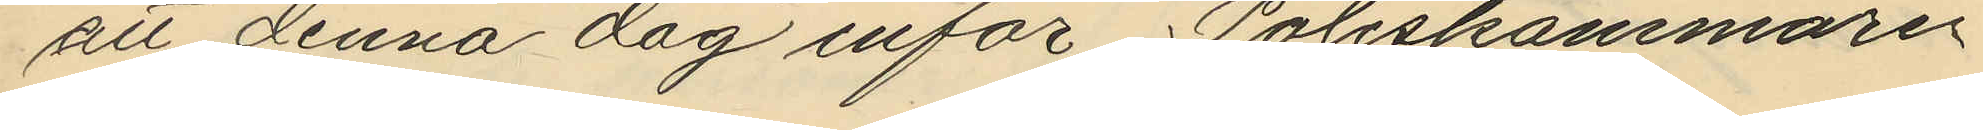att denna dag inför Poliskammaren
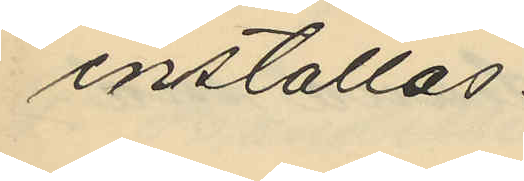inställas.
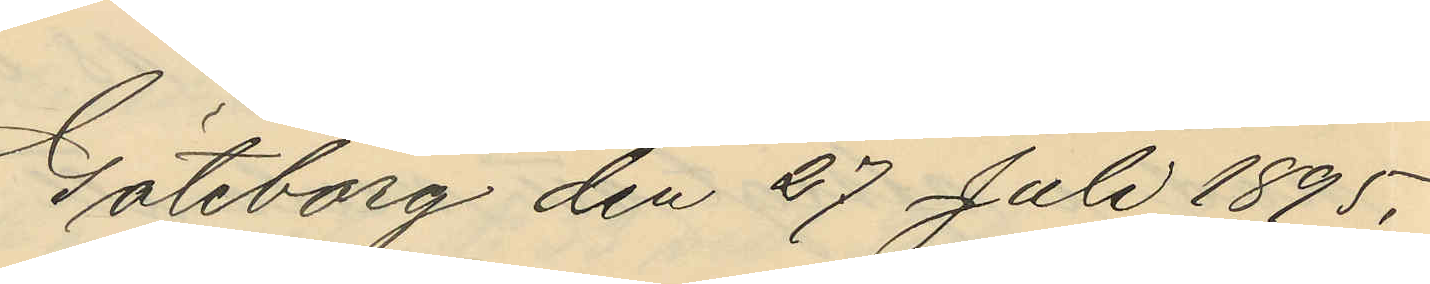Göteborg den 27 Juli 1895.
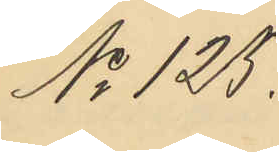No 125.
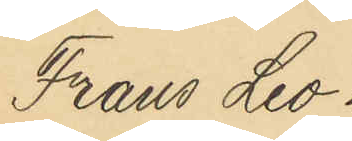Frans Leo¬
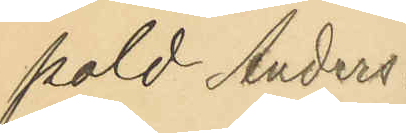pold Anders¬
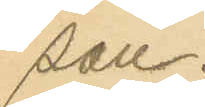son.
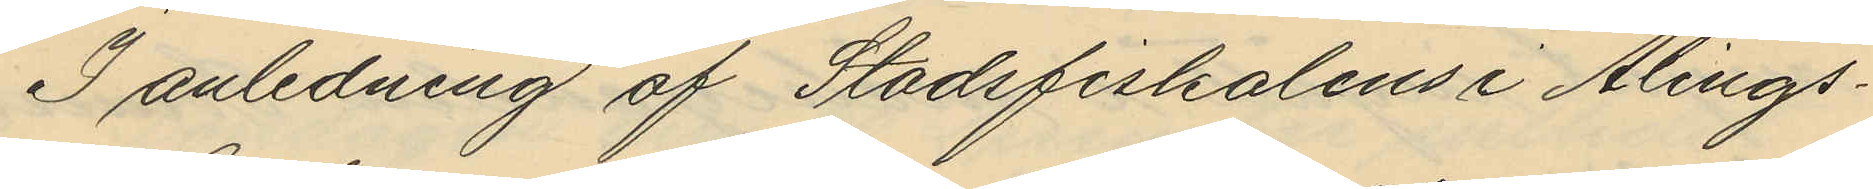I anledning af Stadsfiskalens i Alings¬
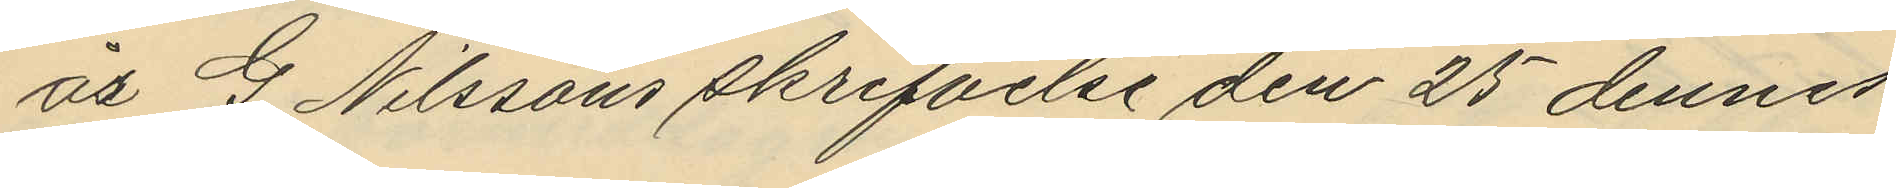ås G. Nilssons skrifvelse den 25 dennes
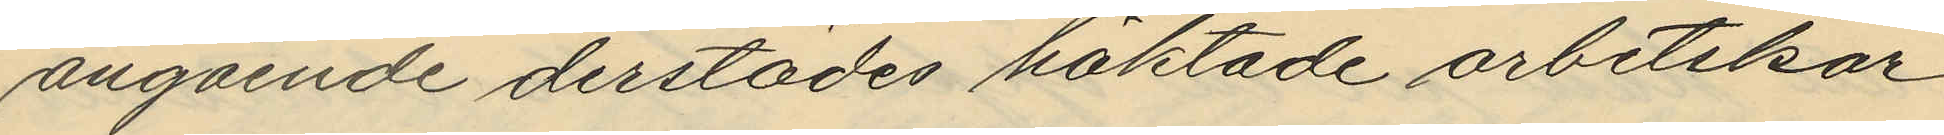angående derstädes häktade arbetskar¬
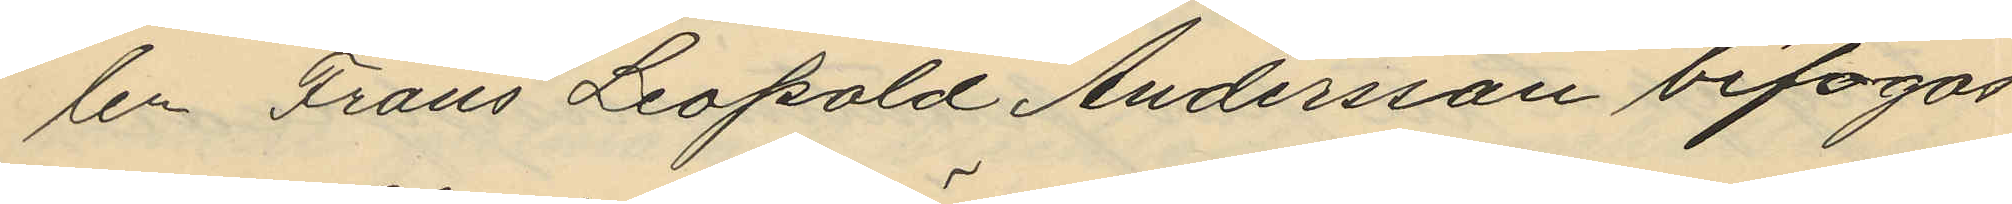len Frans Leopold Andersson bifogas
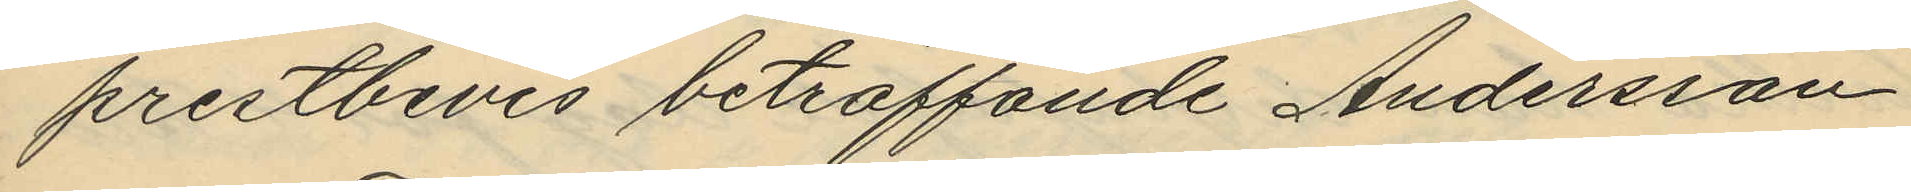prestbevis beträffande Andersson.
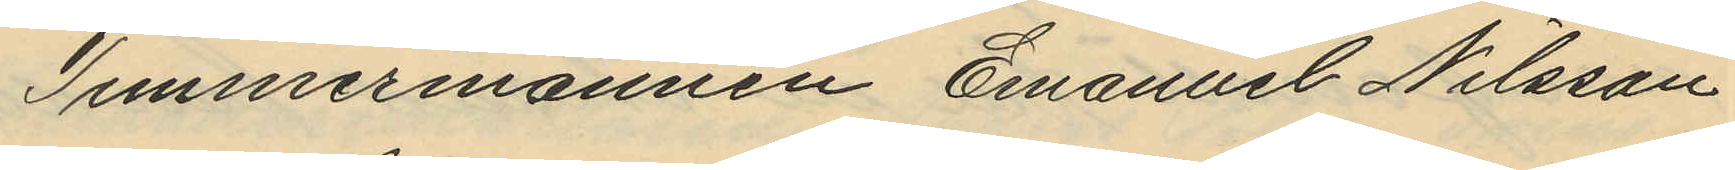Timmermannen Emanuel Nilsson
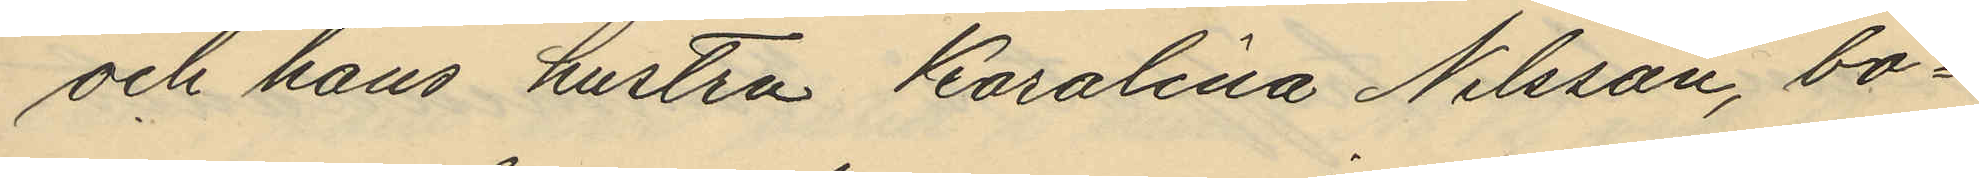och hans hustru Karolina Nilsson, bo¬
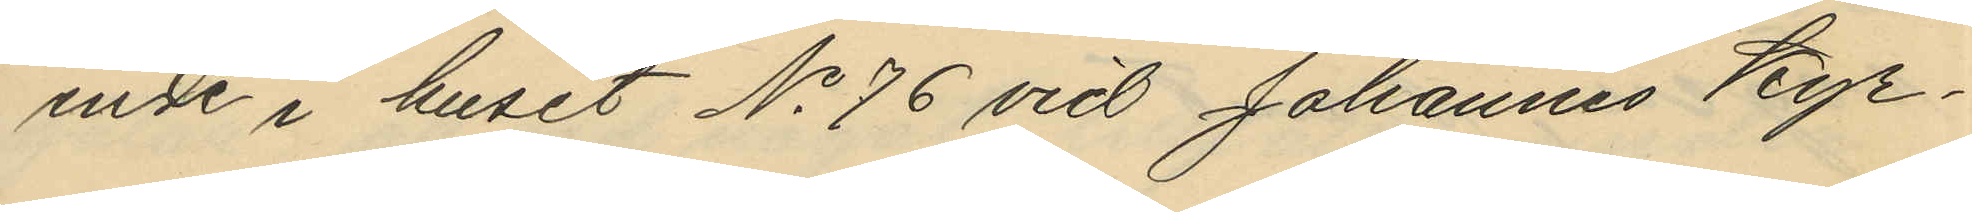ende i huset No 76 vid Johannes Kyr¬
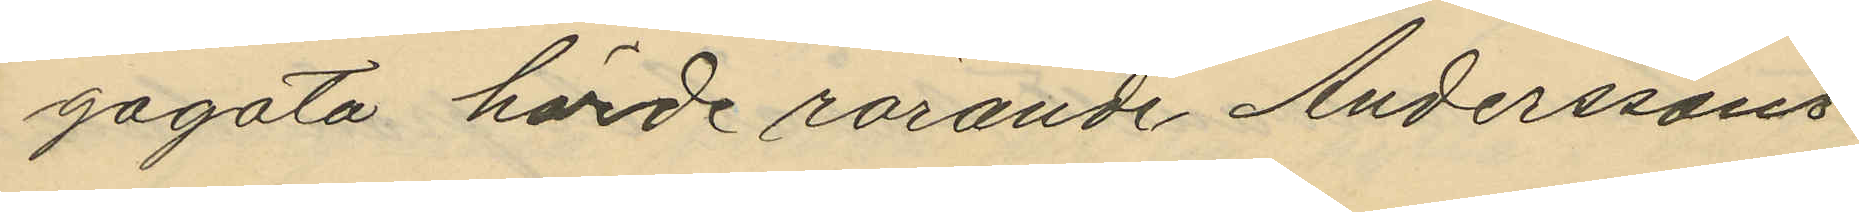gogata hörde rörande Anderssons
